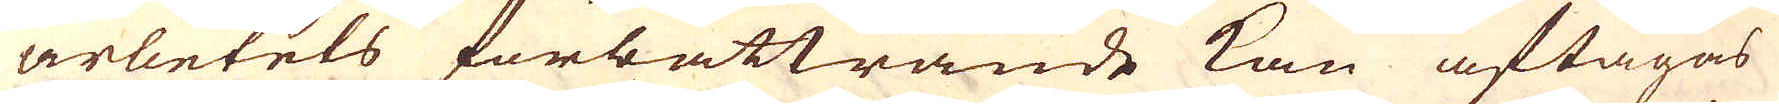arbetets förbättrande kan aftagas
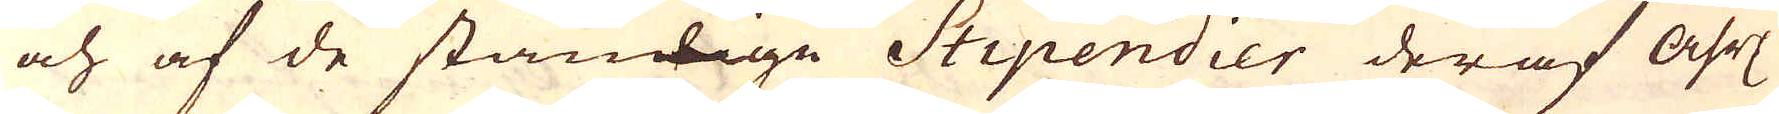och af de ständige Stipendier der af åhrl:
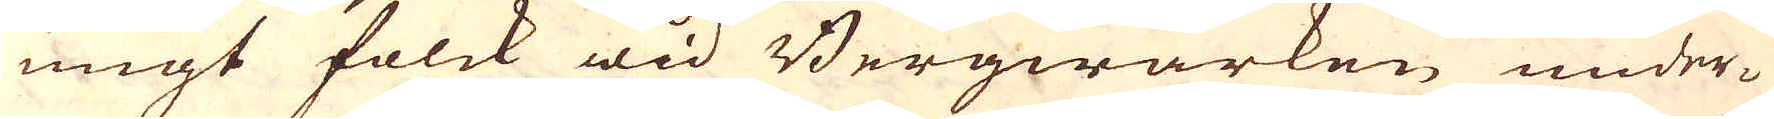ungt folck wid Bergwärken under-
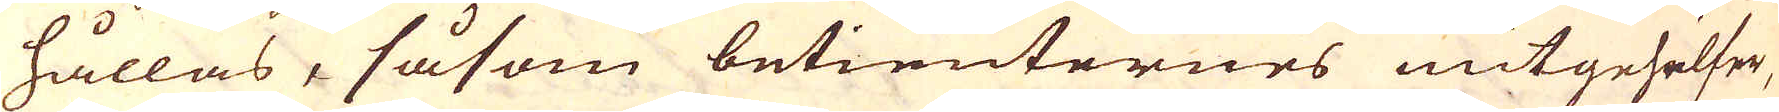hållas, såsom betienternes mitgehelfer,
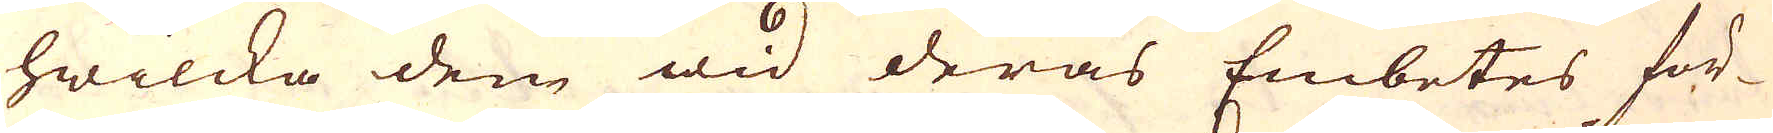hwilcka dem wid deras Embetes för-
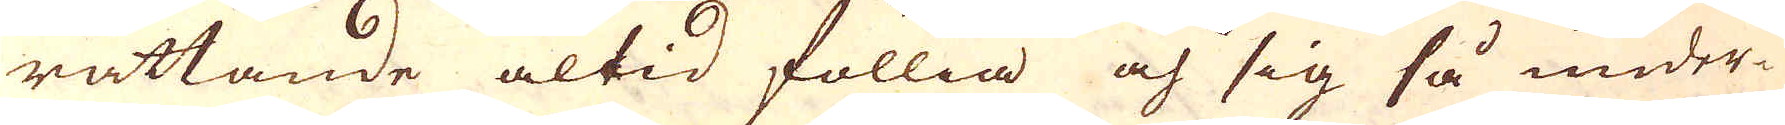rättande altid föllia och sig så under-
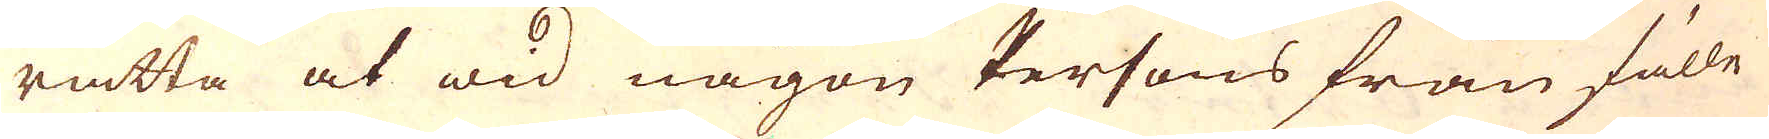rätta at wid någon Persons frånfälle
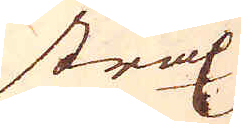strax
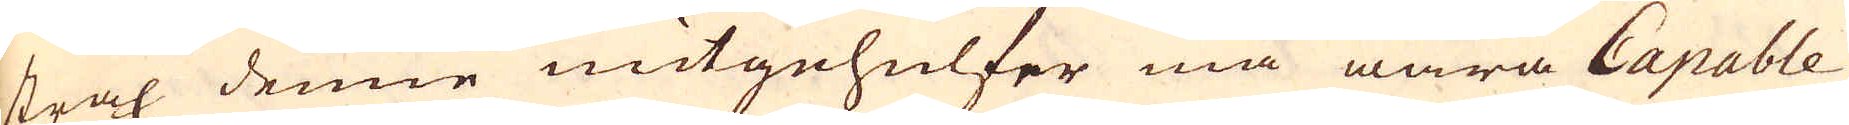strax denne mitgehulfer må wara Capable
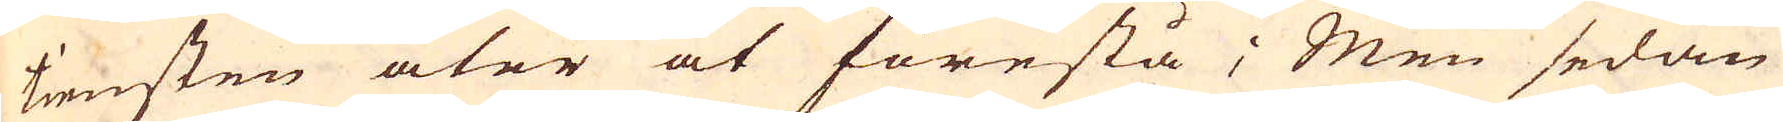tiensten åter at förestå; Men sedan
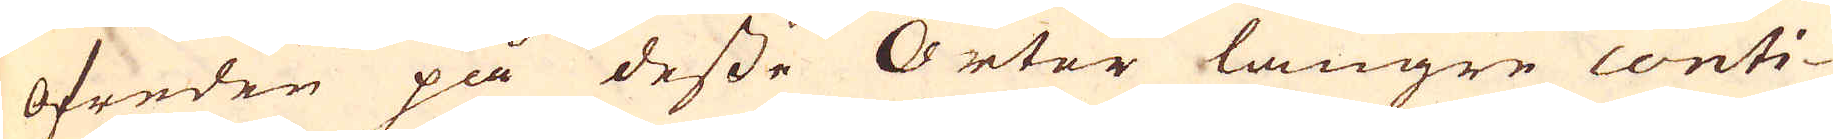ofreden på desse Orter längre conti-
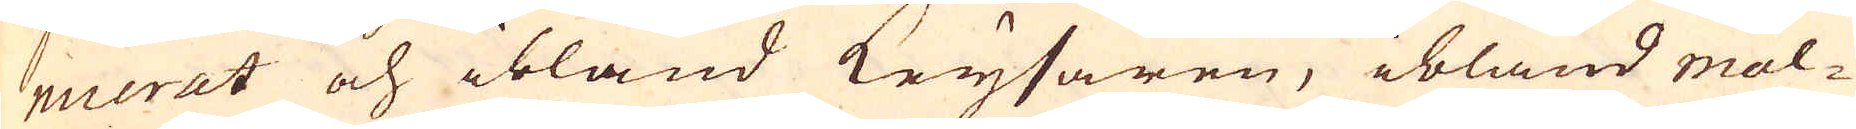nuerat och ibland Keysaren, ibland mal-
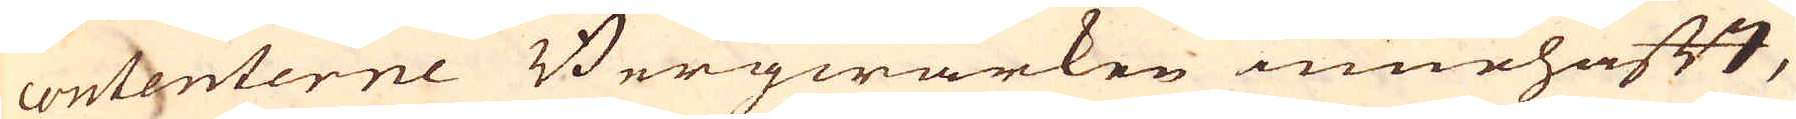contenterne Bergwärken innehafft,
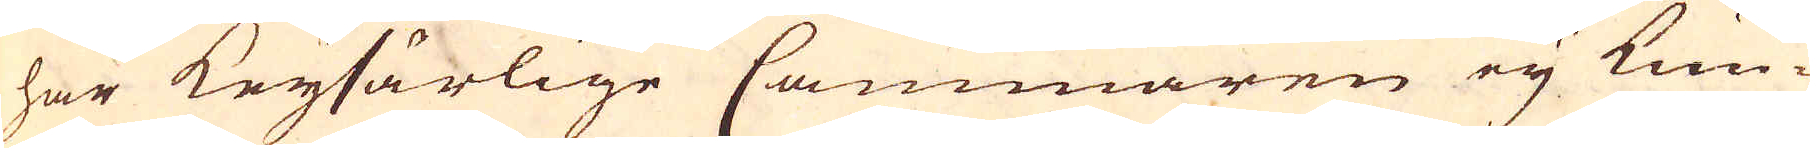har Keysärlige Cammaren ey kun-
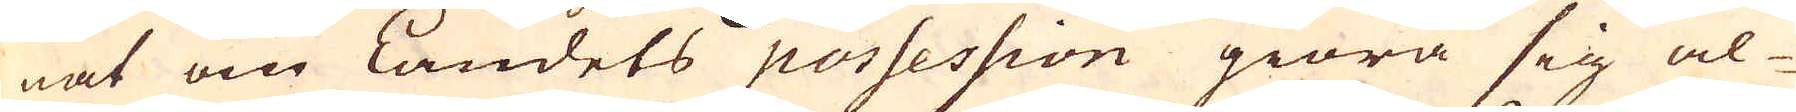nat om Landets possession giöra sig al-
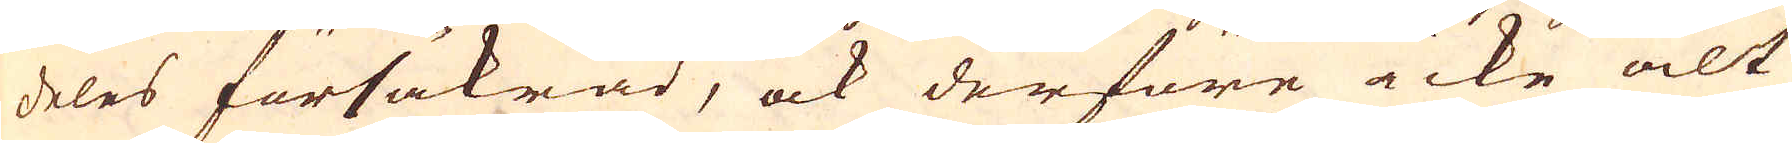deles försäkrad, ock derföre icke alt
